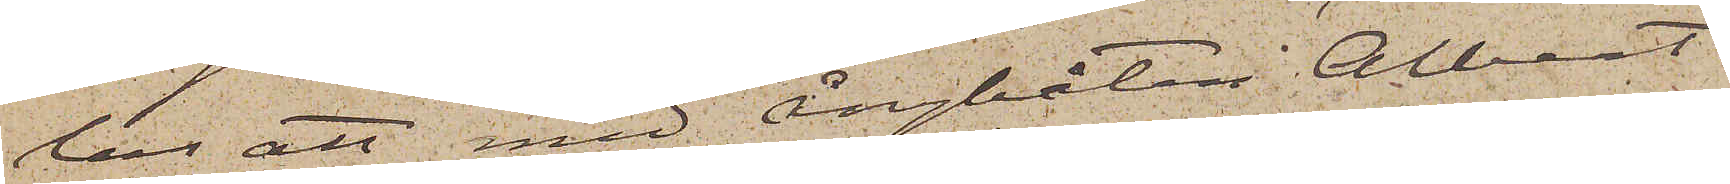las att med ångbåten Albert
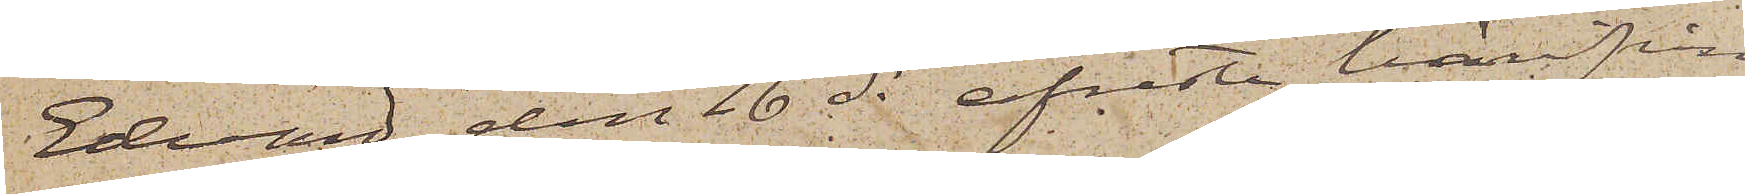Edvard den 16 ds afreste härifrån
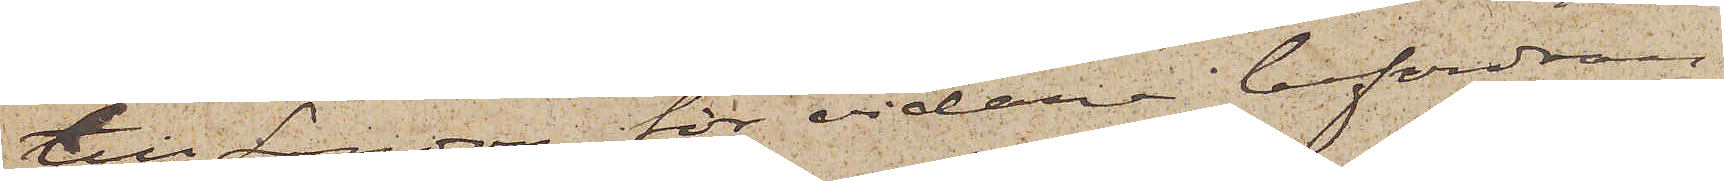till London för vidare befordran
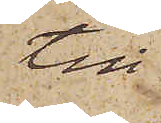till
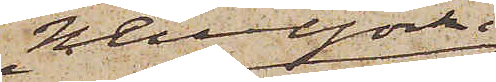Newyork i
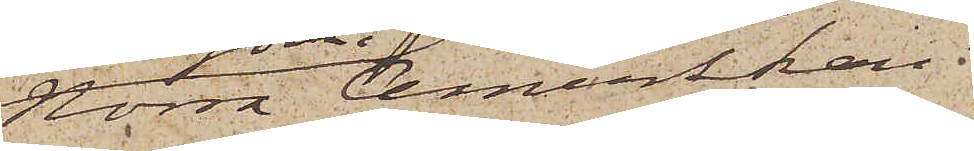Norra Amerika
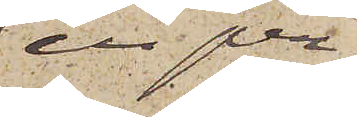en per¬
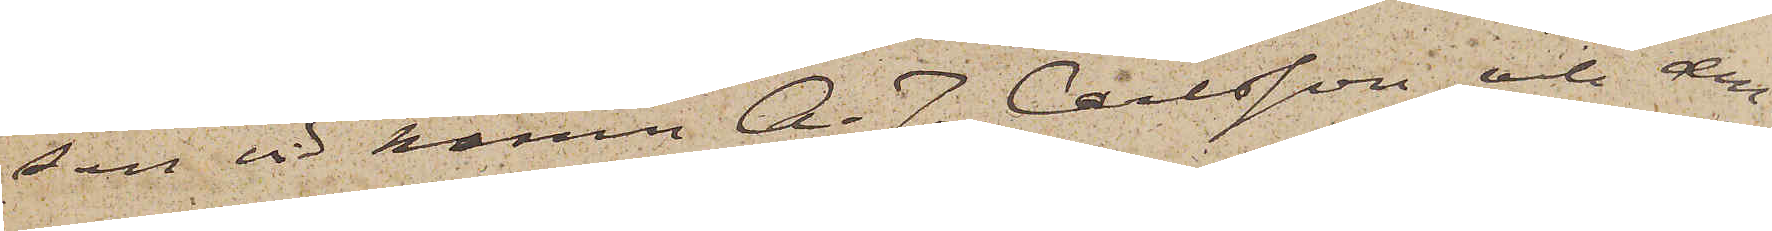son vid hamn A. J. Carlsson och den¬
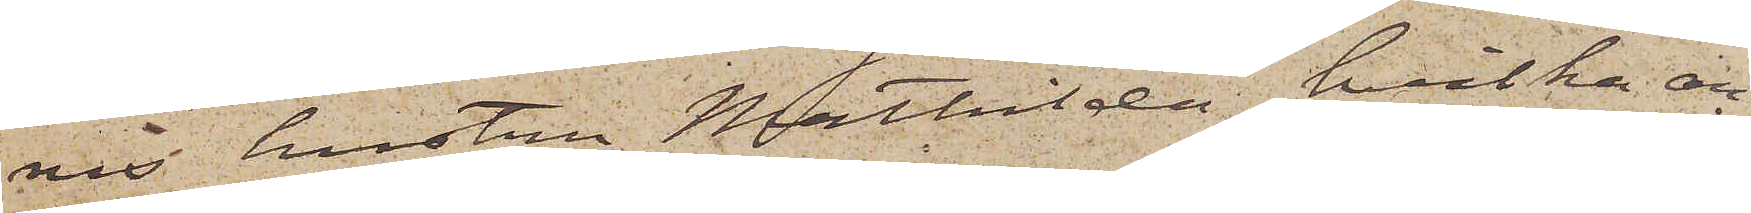nes hustru Mathilda, hvilka an¬
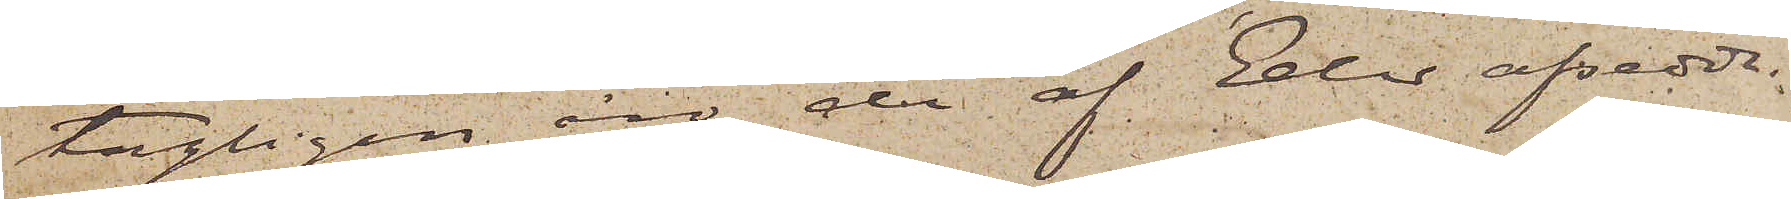tagligen äro de af Eder afsedda.
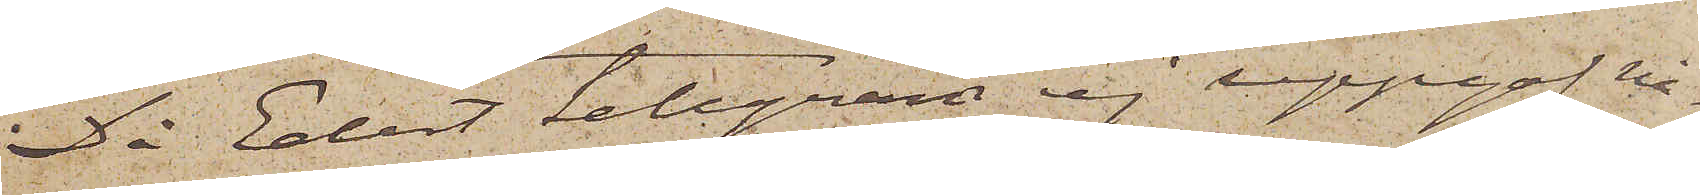Då Edet telegram ej uppgaf nå¬
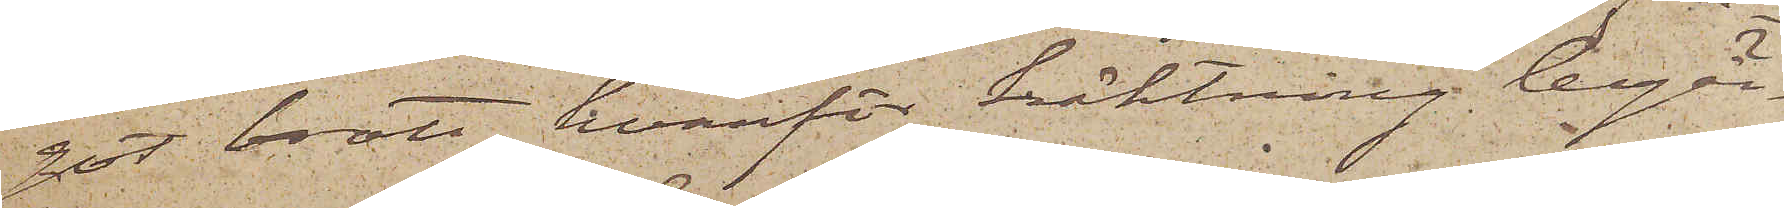got brott, hvarför häktning begär¬
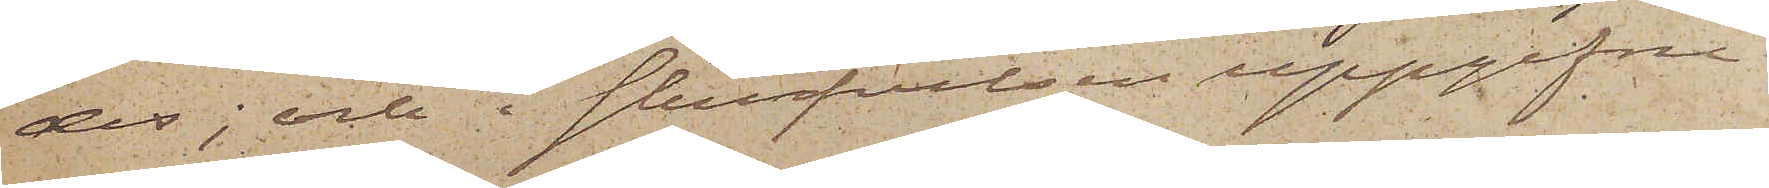des; och i skrifvelsen uppgifne
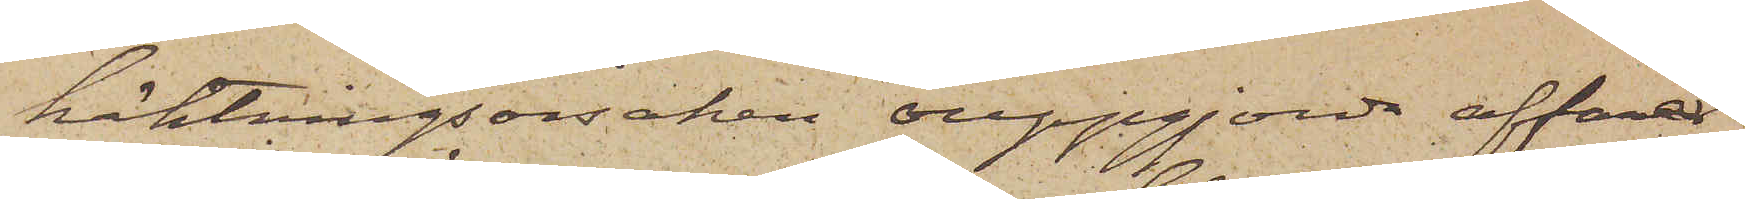häktningsorsaken "ouppgjorda affärer"
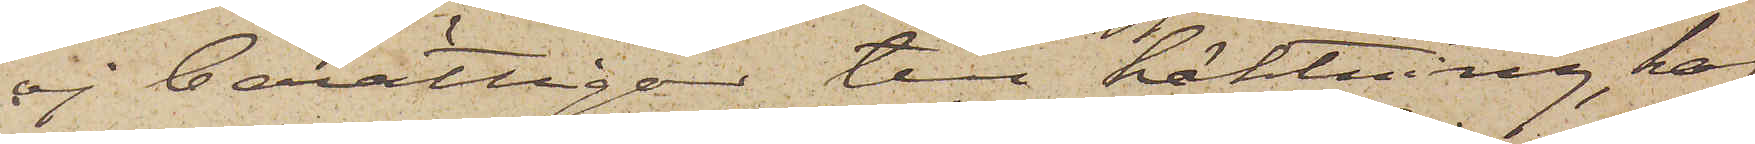ej berättigar till häktning, haf¬
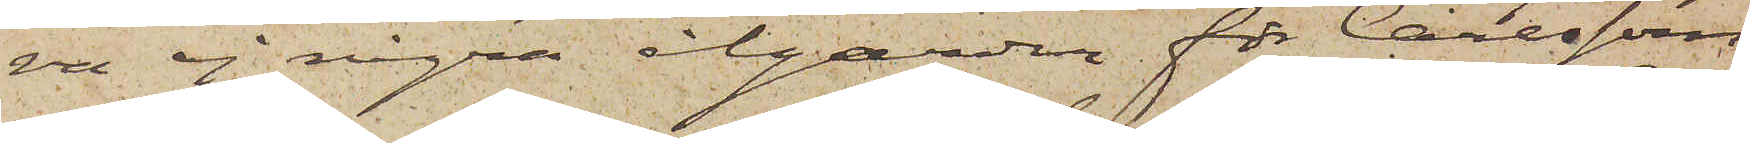va ej några åtgärder för Carlssons
